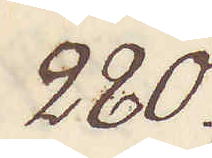280.
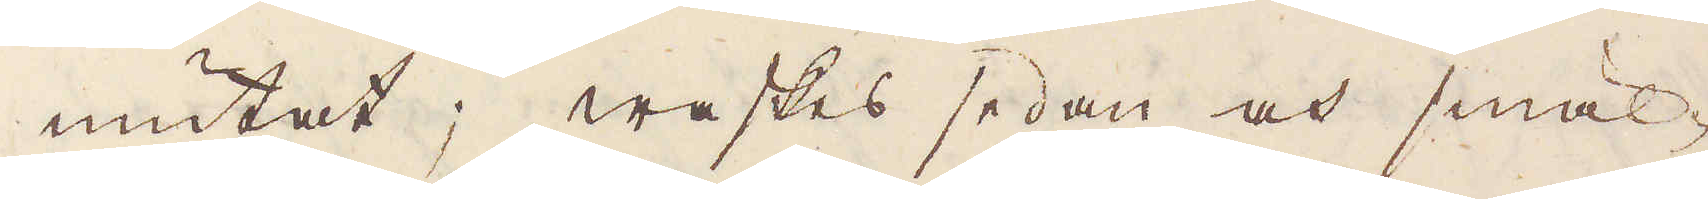niutat; waskas sedan och smäl-
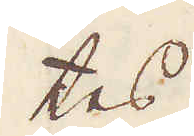tes.
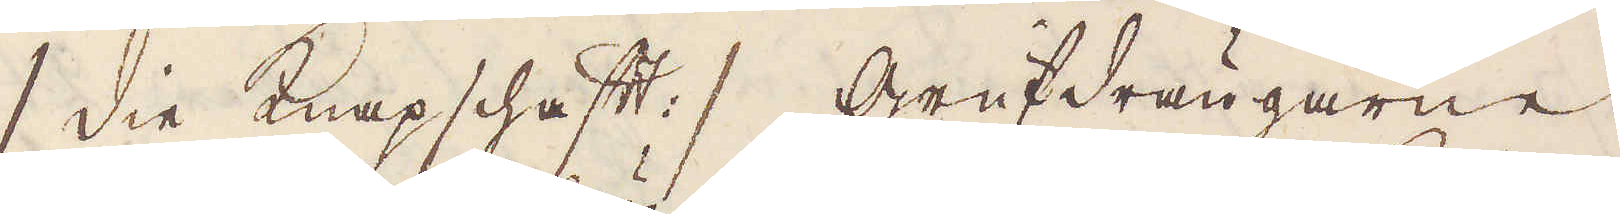/ die knapschaft :/ Grufdrängarne
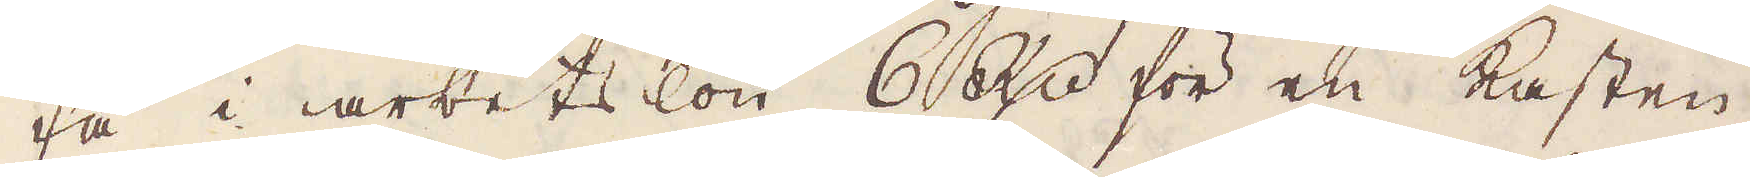få i arbetslön 6 R:dr för en kasten
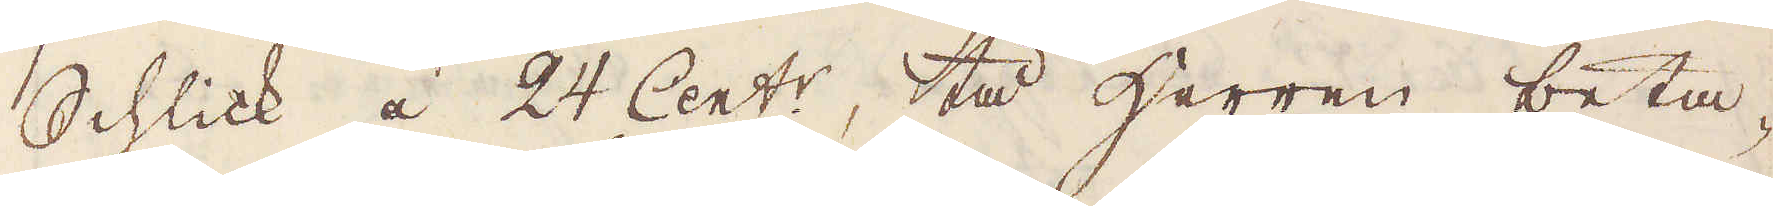Schlick i 24 Cent:r, tå herren beta-
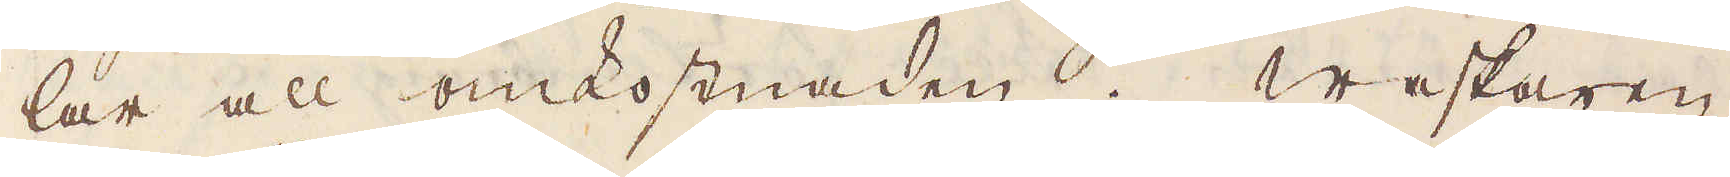lar all omkostnaden. Waskaren
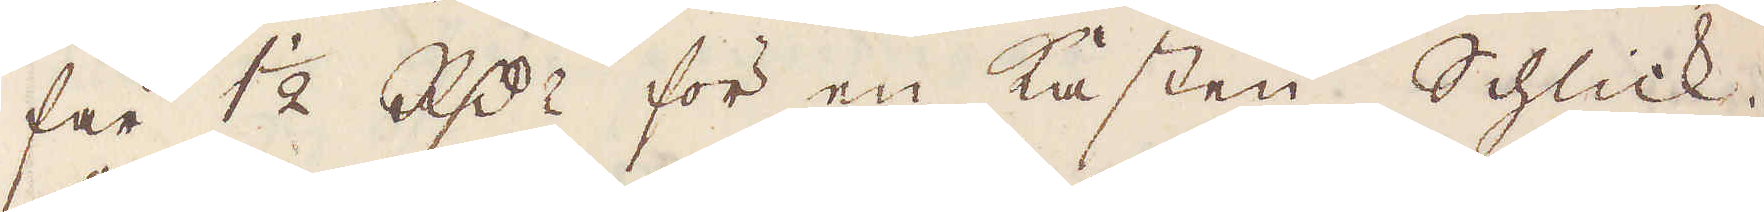får 1 1/2 R:dr för en kasten Schlick.
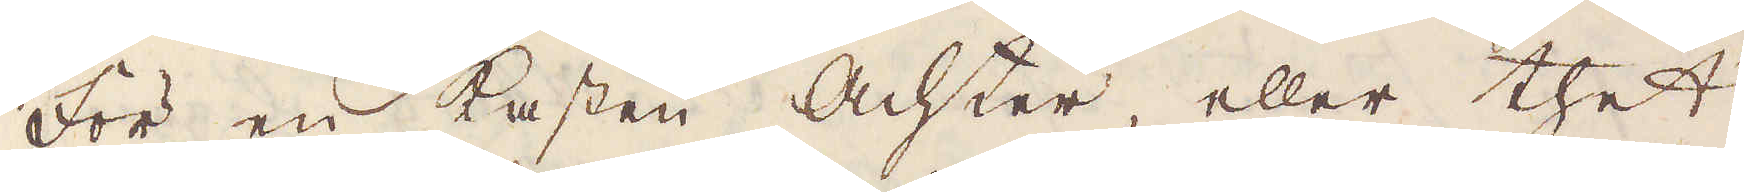För en kasten Achter, eller thet
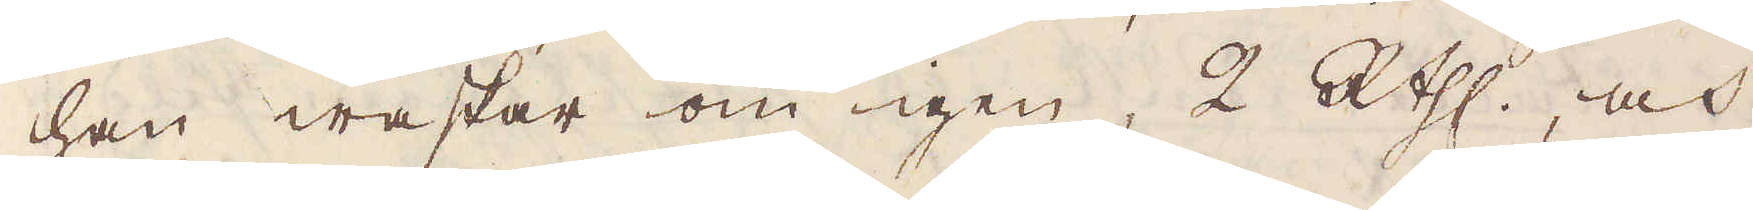han waskar om igen, 2 R:thlr, och
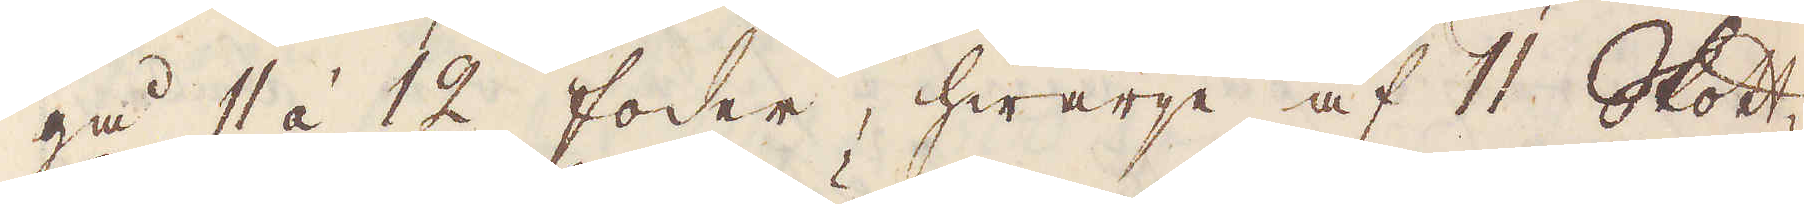gå 11 á 12 foder, hwarje af 11 Skott-
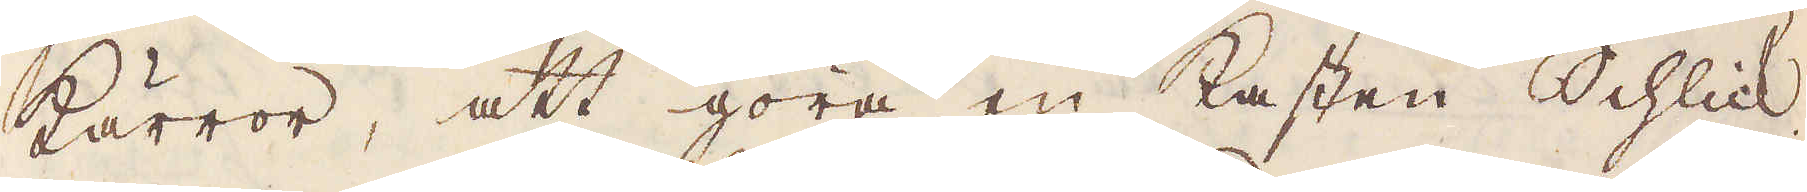kärror, att göra en Kasten Schlick.
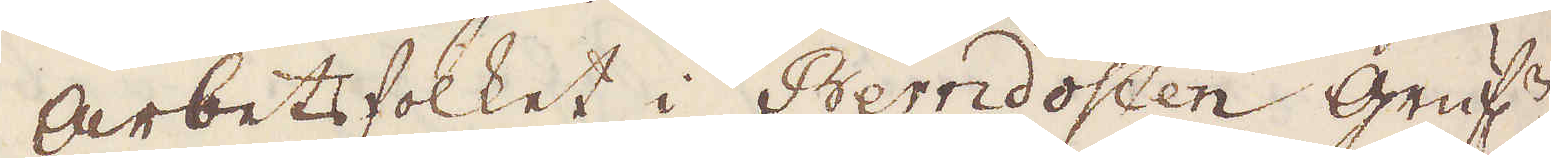Arbetsfolket i Berndosten Gruf:n
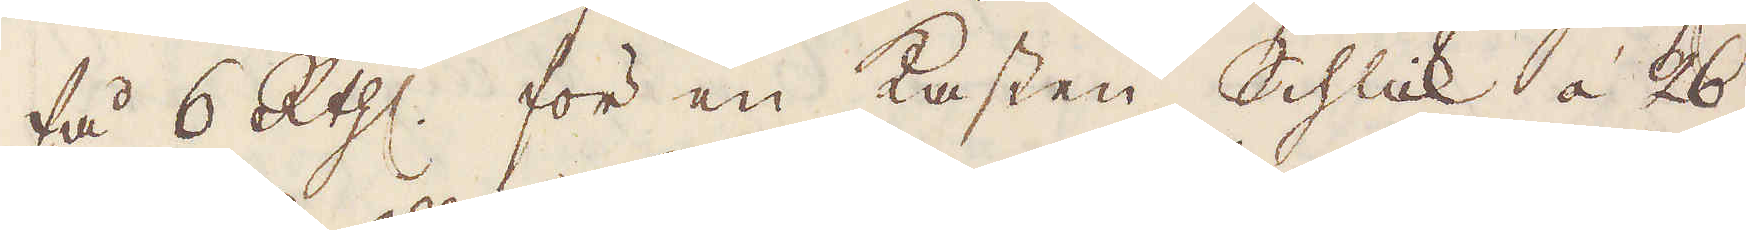få 6 R:thlr. för en Kasten Schlick à 26
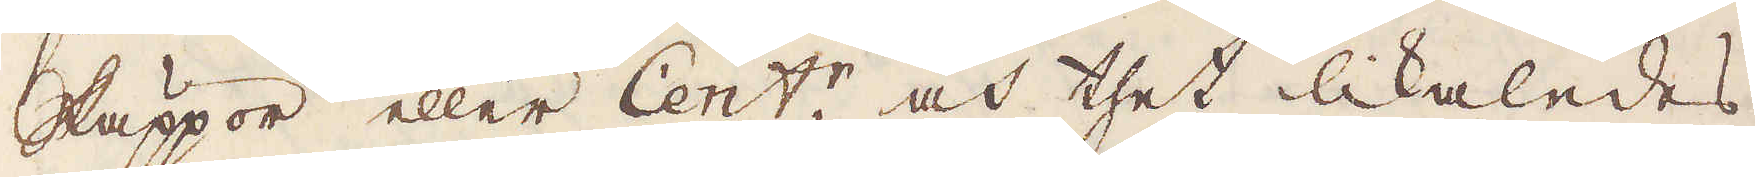Skäppor eller Cent:r, och thet likaledes
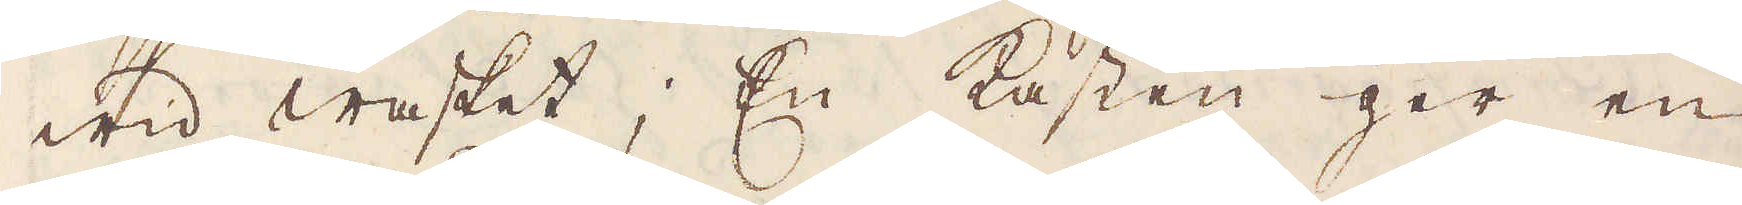wid wasket; En Kasten ger en
